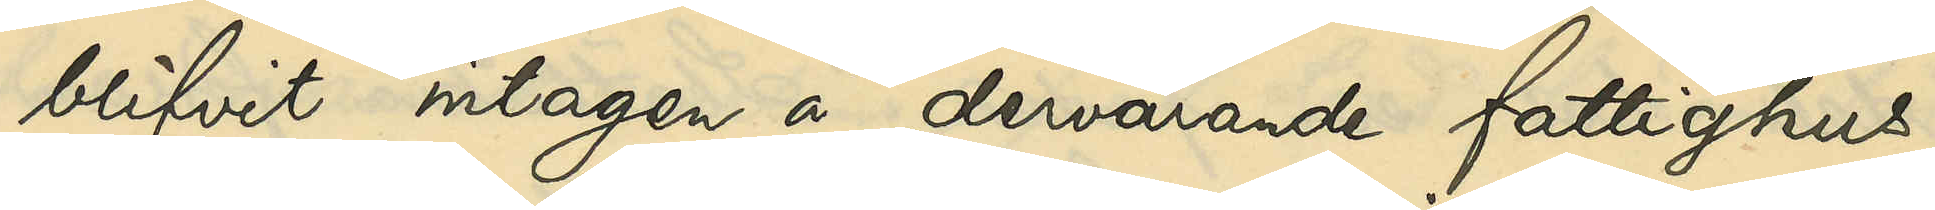blifvit intagen a dervarande fattighus;
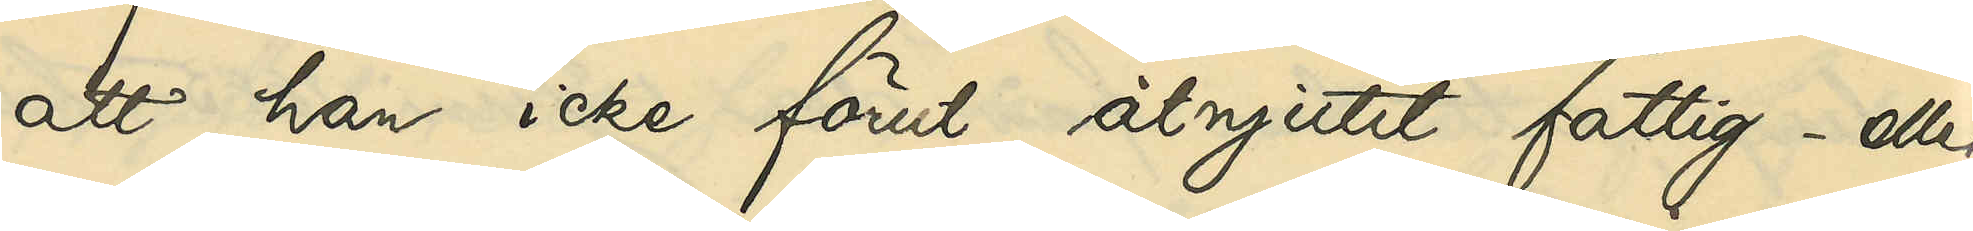att han icke förut åtnjutit fattig- eller 
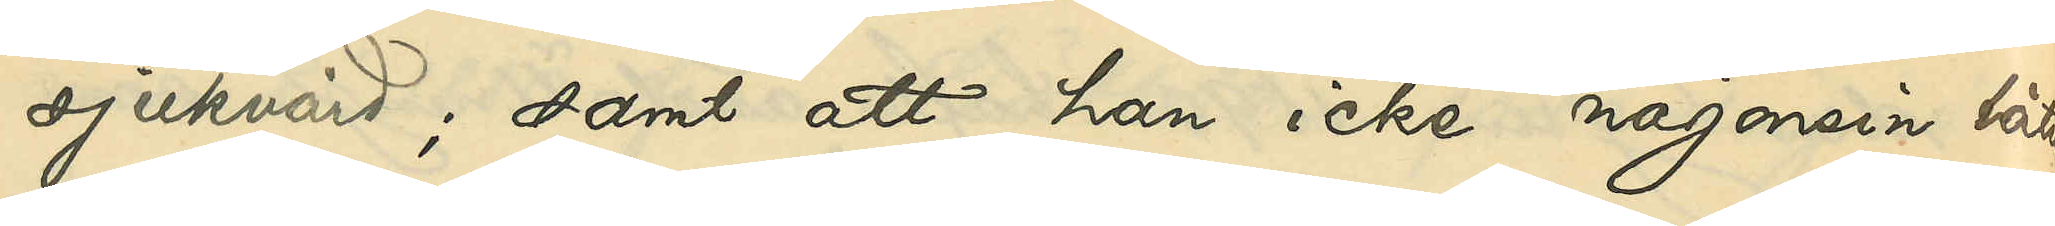sjukvård; samt att han icke någonsin låtit
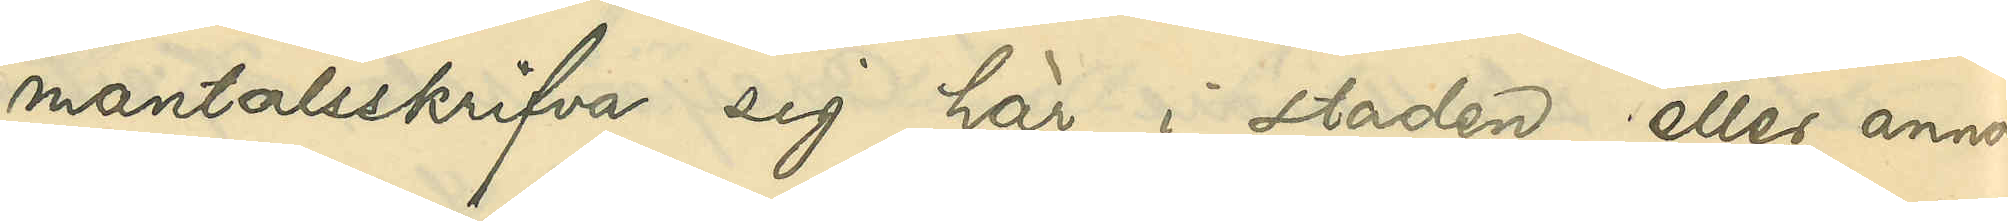mantalsskrifva sig här i staden eller annor¬
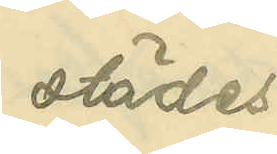städes.
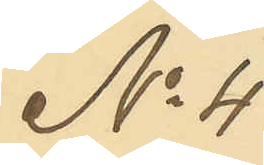No 4
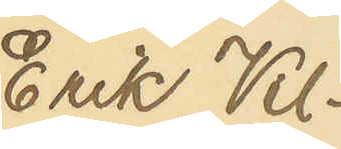Erik Vil¬
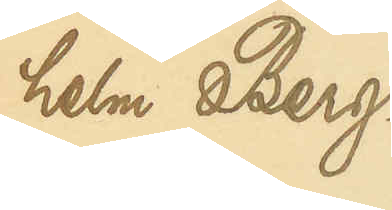helm Berg¬
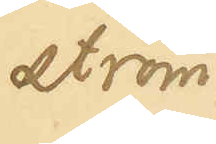ström
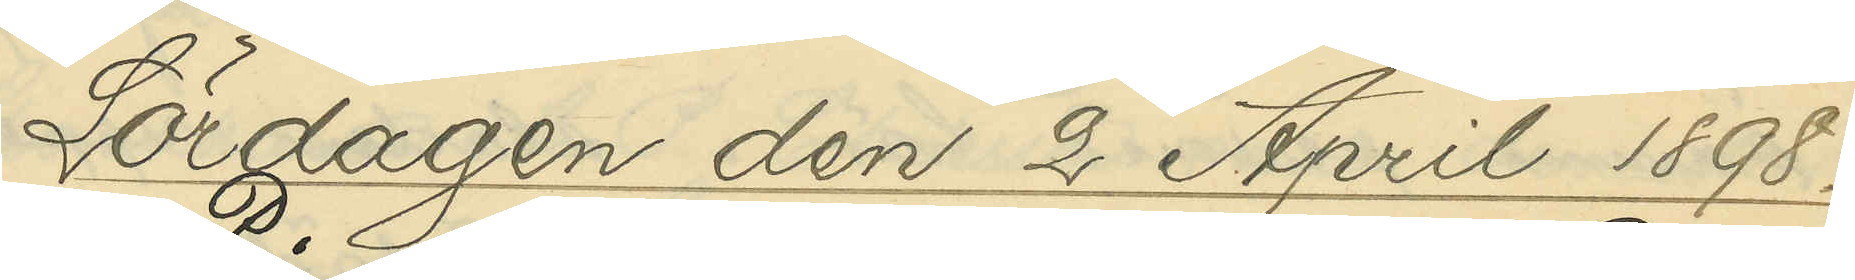Lördagen den 2 April 1898.
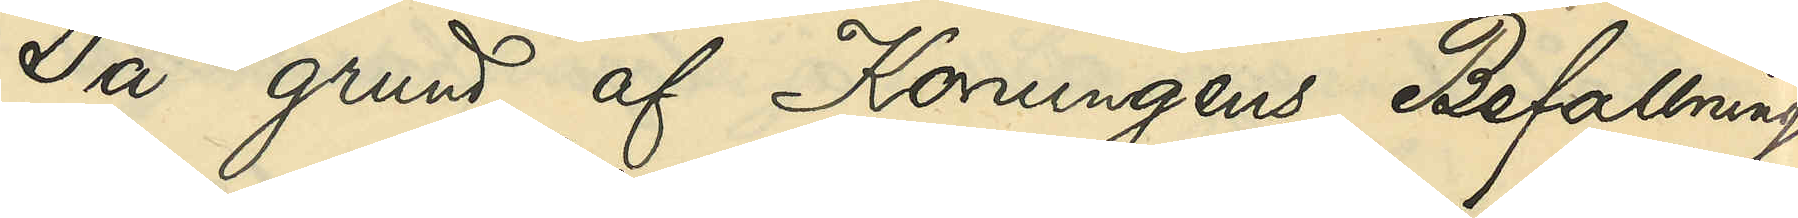På grund af Konungens Befallnings¬
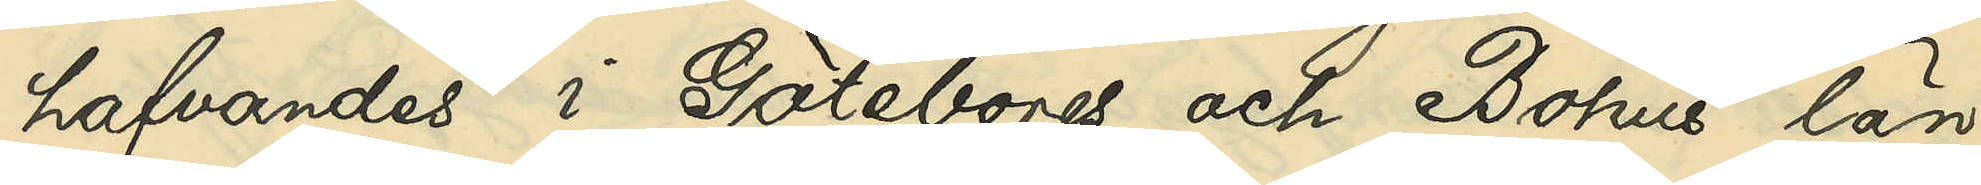hafvandes i Götebrogs och Bohus län
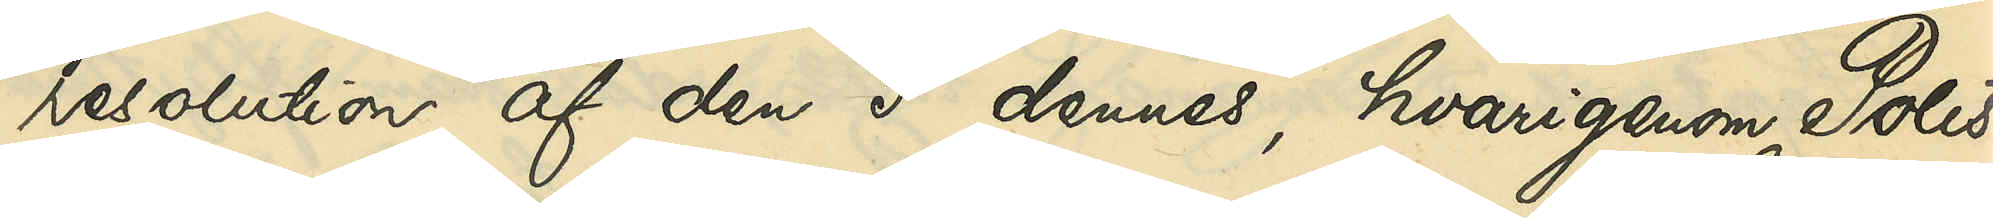resolution af den 5 dennes, hvarigenom Polis¬
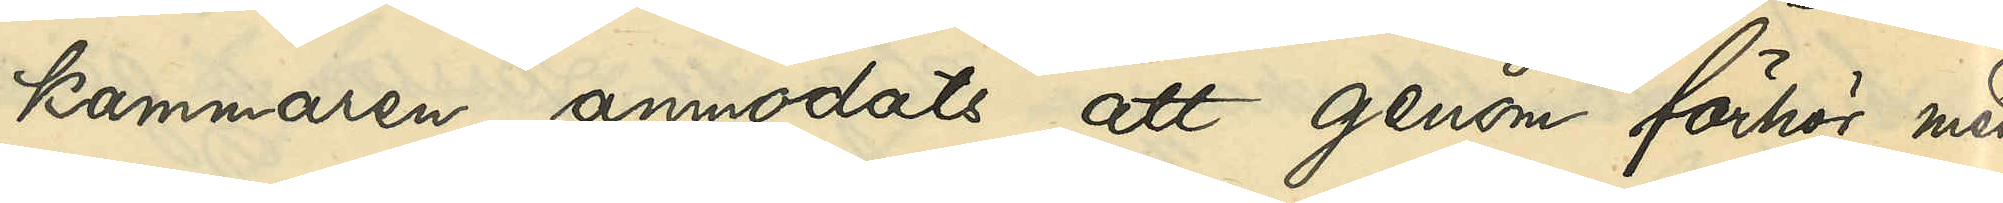kammaren anmodats att genom förhör med
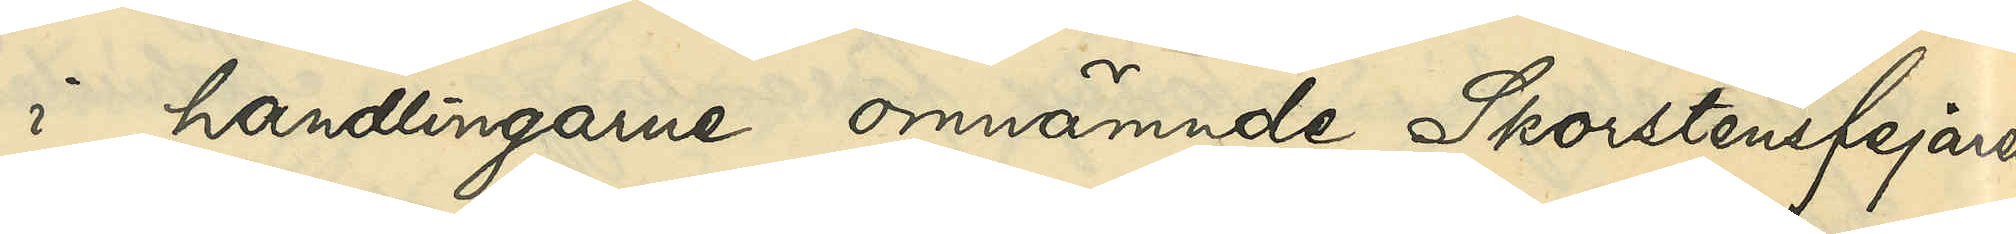i handlingarne omnämnde Skorstensfejaren
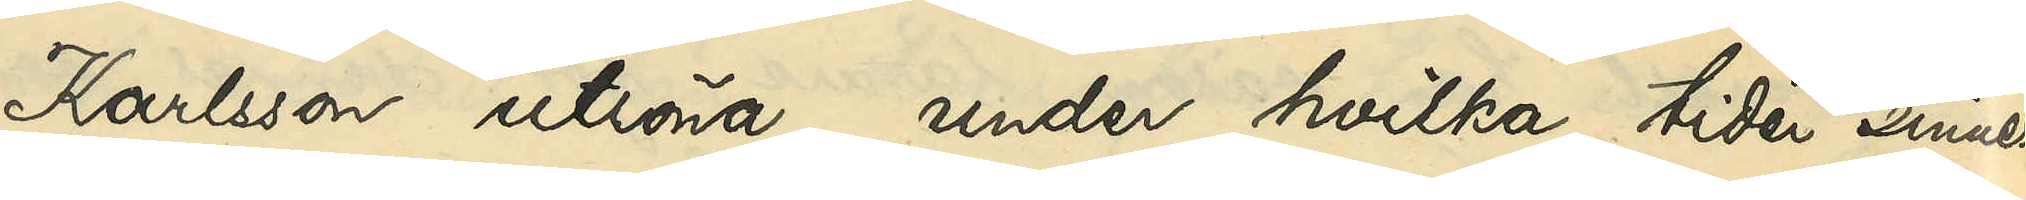Karlsson utröna, under hvilka tider sinnes¬
